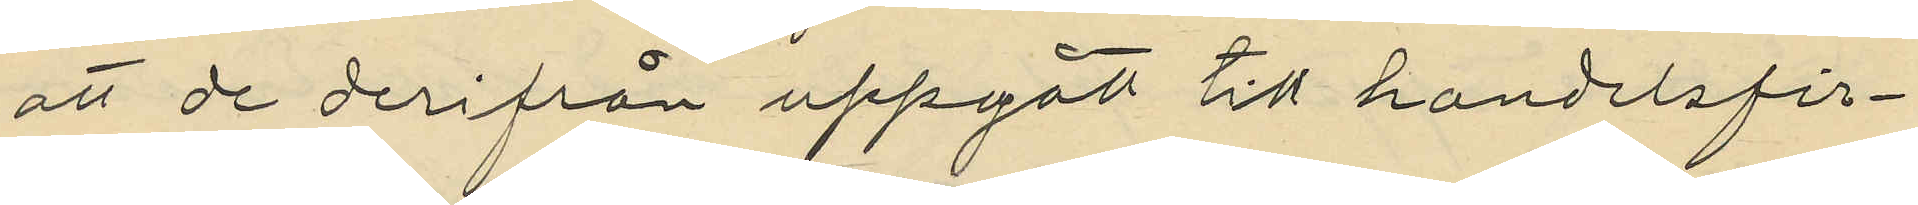att de derifrån uppgått till handelsfir¬
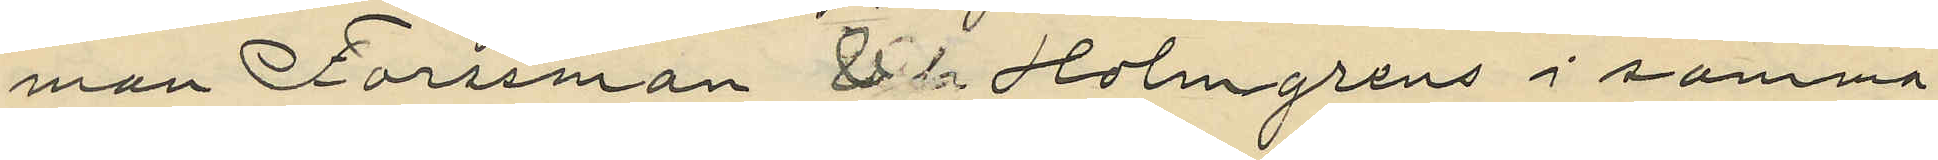man Forssman & Holmgrens i samma
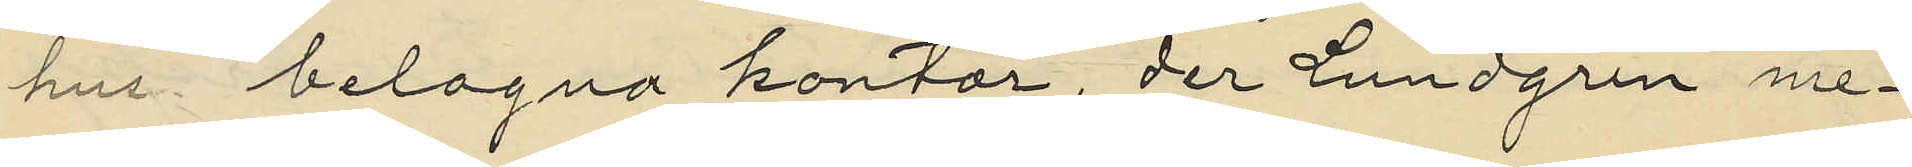hus belägna kontor, der Lundgren me¬
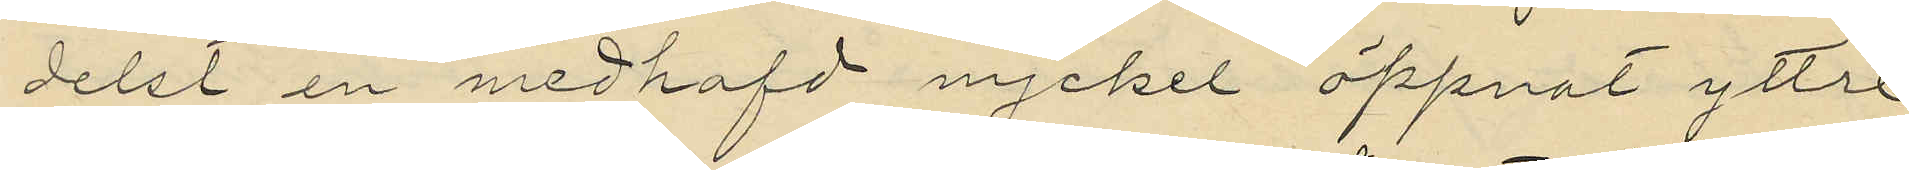delst en medhafd nyckel öppnat yttre
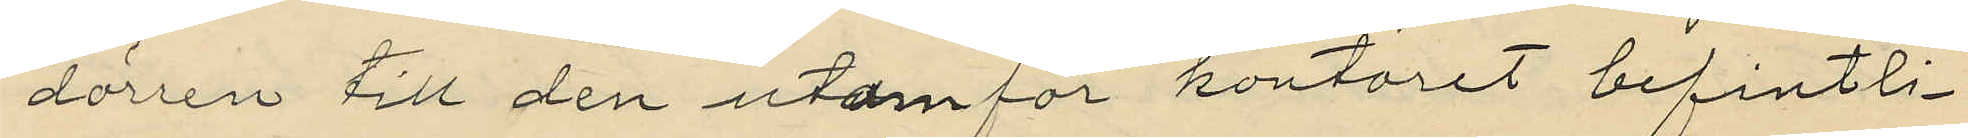dörren till den utanför kontoret befintli¬
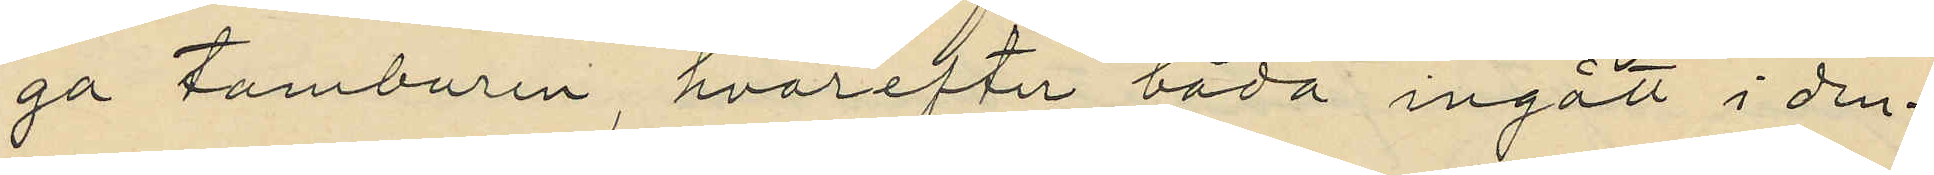ga tamburen, hvarefter båda ingått i den¬
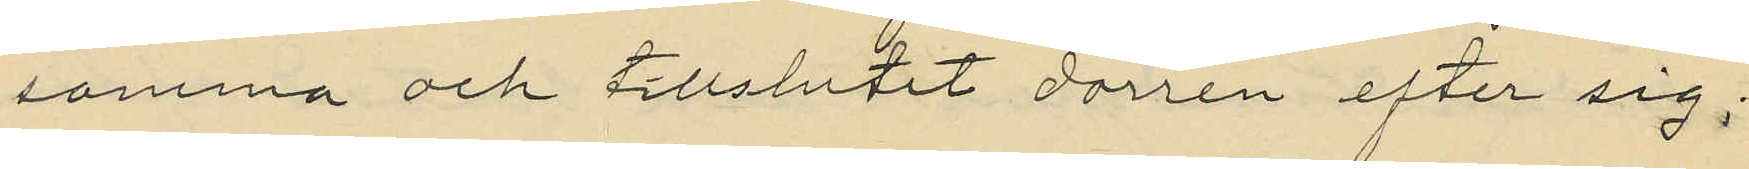samma och tillslutit dörren efter sig;
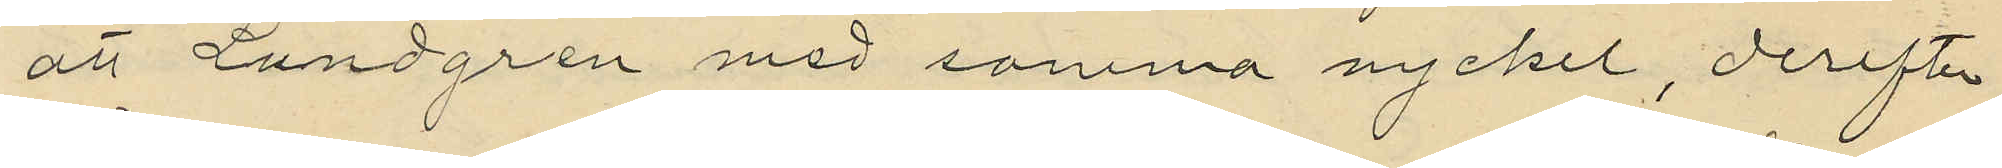att Lundgren med samma nyckel, derefter
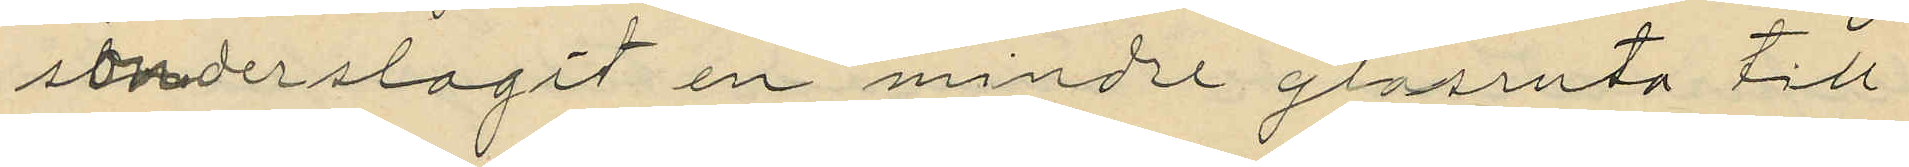sönderslagit en mindre glasruta till
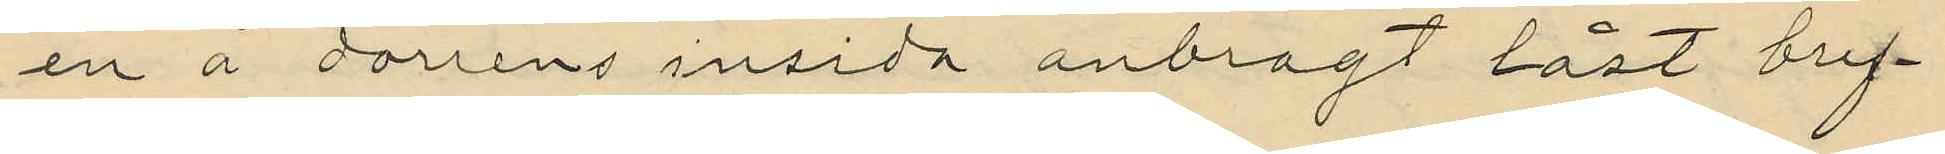en å dörrens insida anbragt låst bref¬
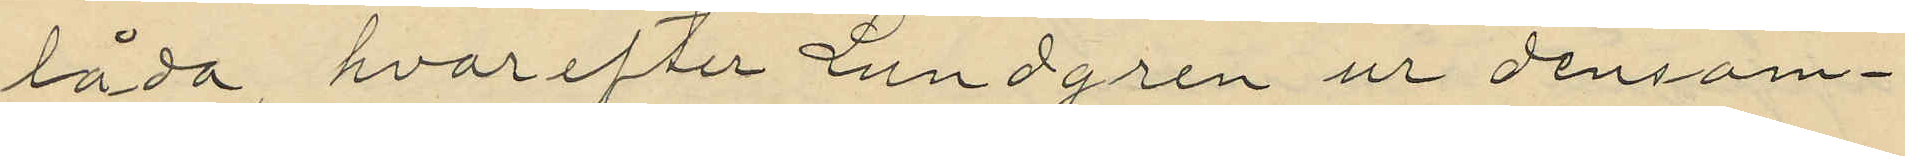låda, hvarefter Lundgren ur densam¬
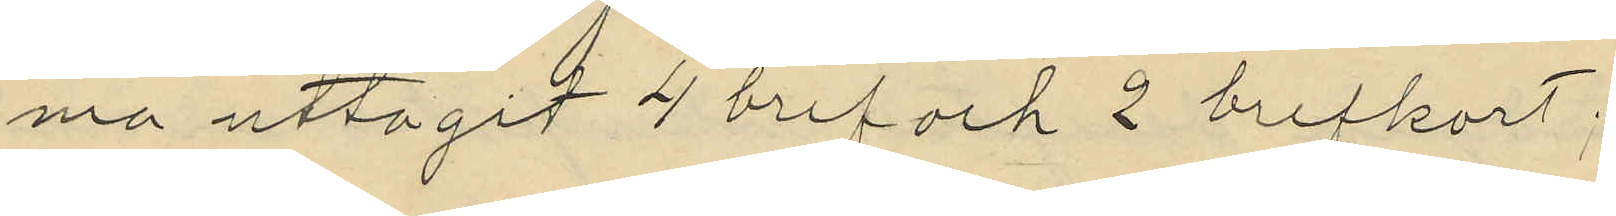ma uttagit 4 bref och 2 brefkort;
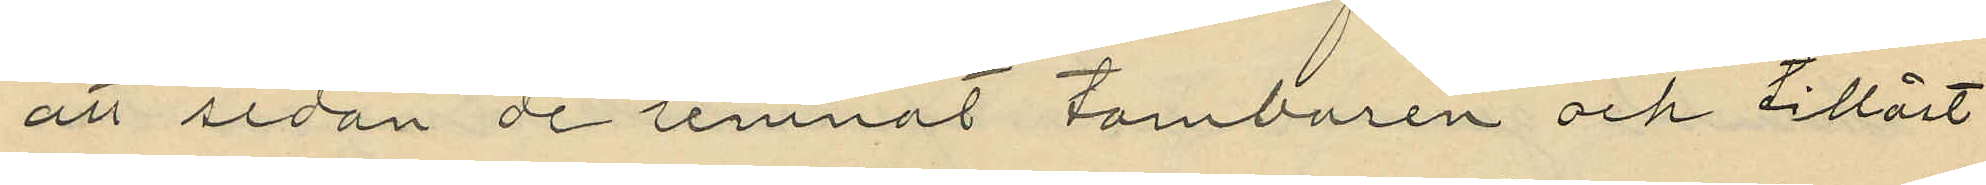att sedan de lemnat tamburen och tillåst
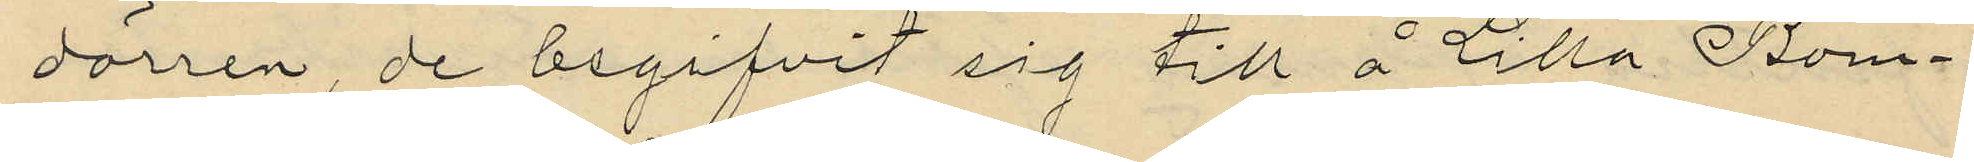dörren, de begifvit sig till å Lilla Bom¬
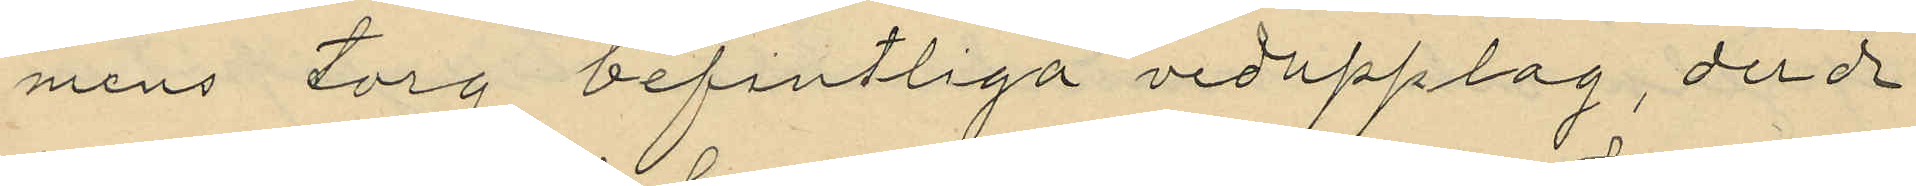mens torg befintliga vedupplag, der de
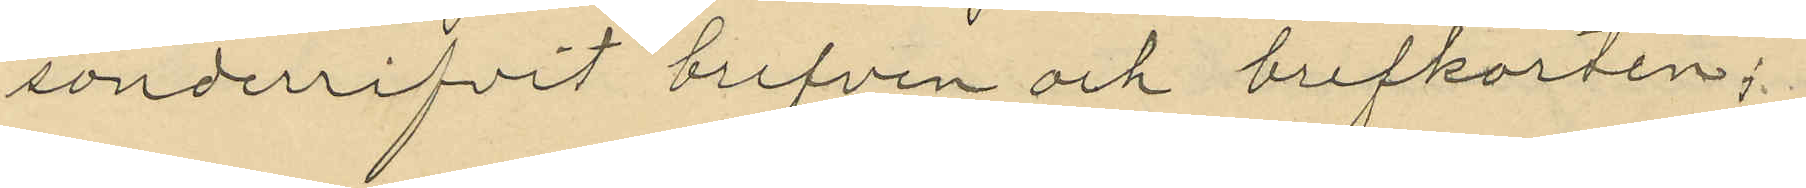sönderrifvit brefven och brefkorten;
